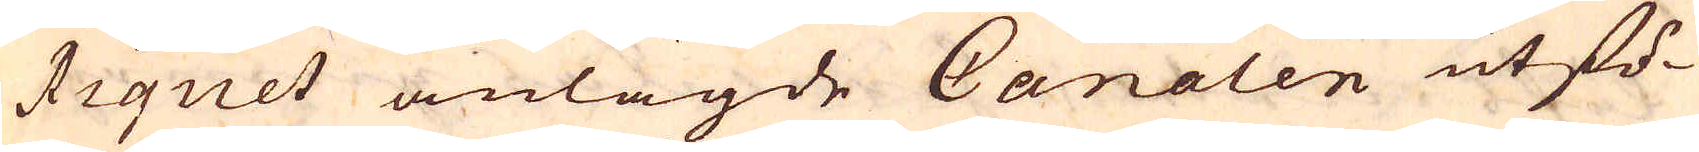Riquet anlagde Canalen utfö-
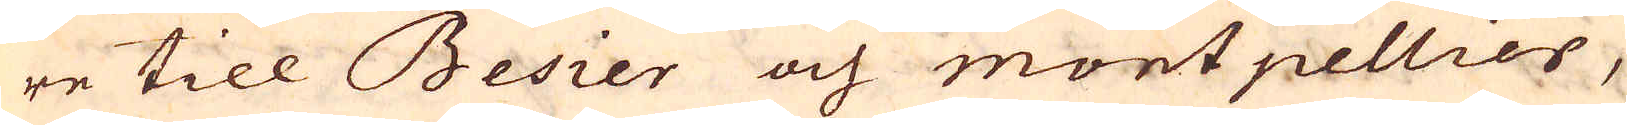re till Besier och montpellier,
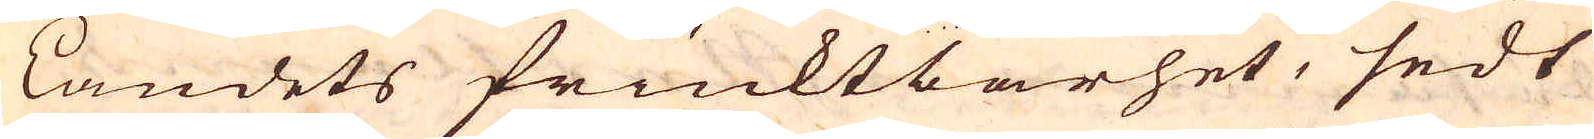Landets fruktbarhet, sedt
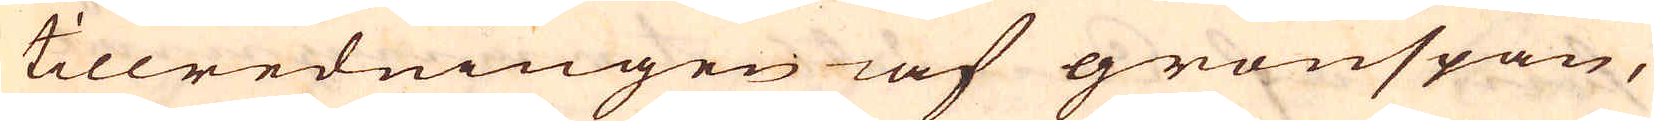tillredningen iaf grönspan,
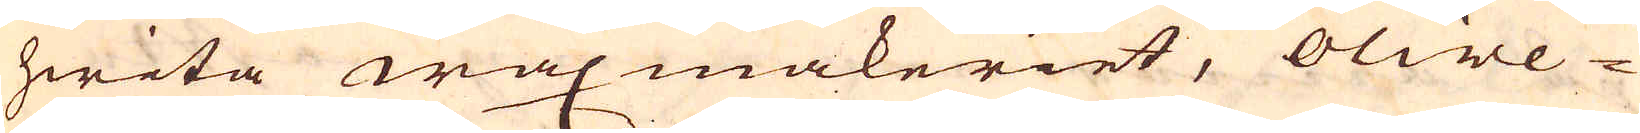hwita waxmakeriet, olive-
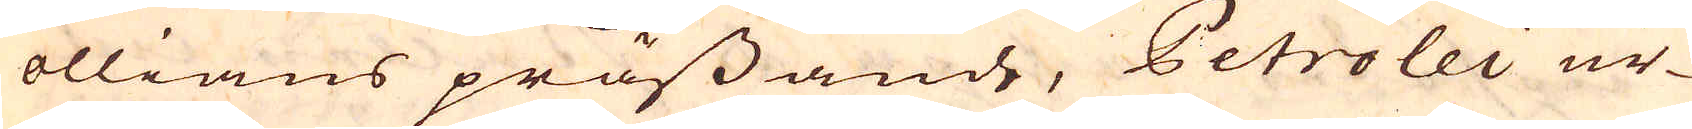ollians prässande, Petrolei ur-
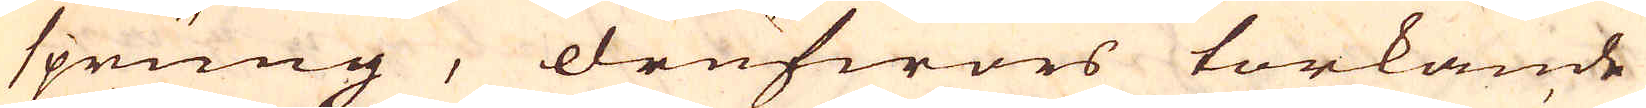sprung, drufwors torkande
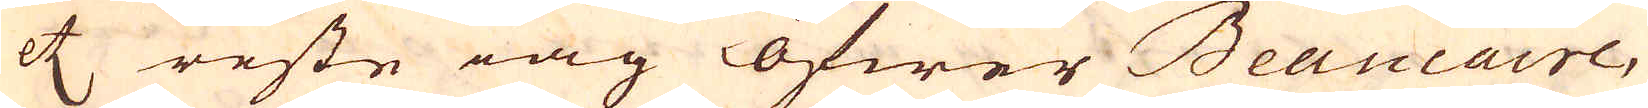etc reste iag öfwer Beaucaire,
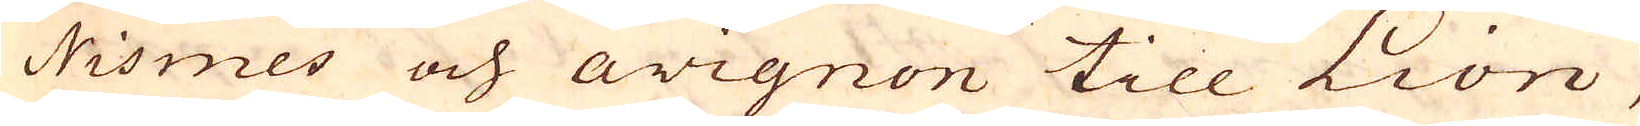Nismes och avignon till Lion,
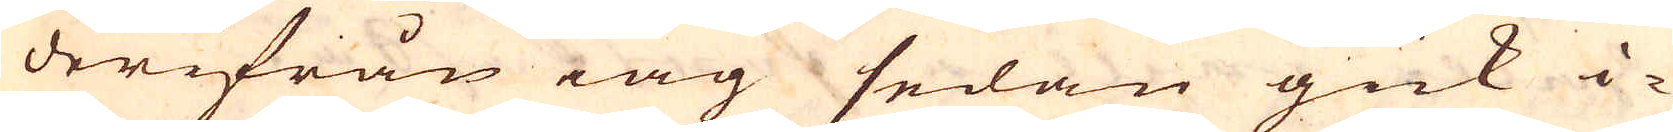derifrån iag sedan gick i-
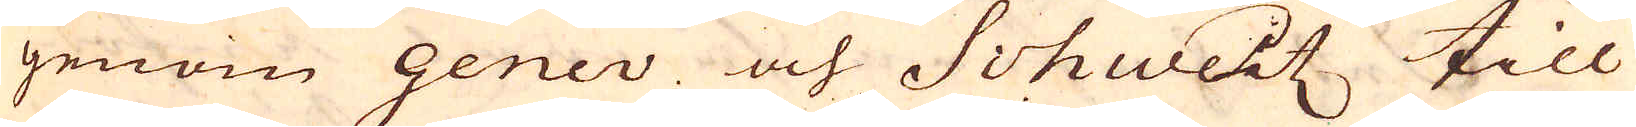genom Genev och Schweitz till
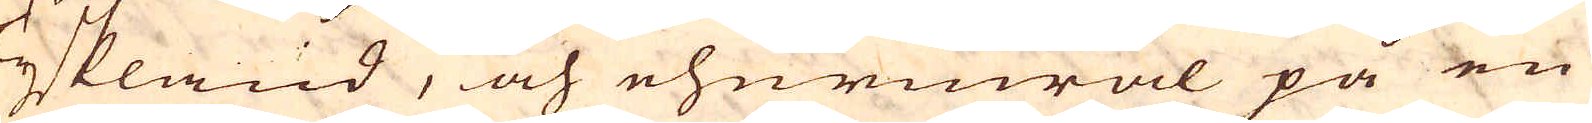Tyskland, och ehurwäl på en
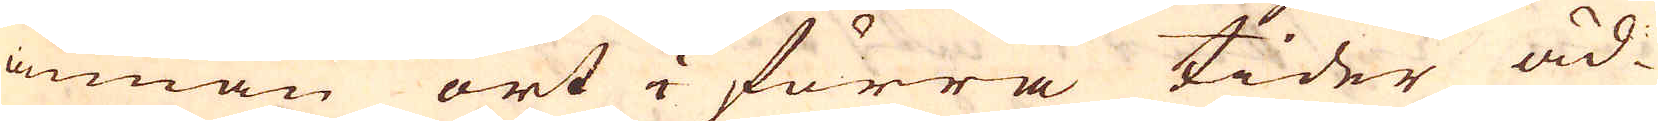annan ort i förra tider äd-
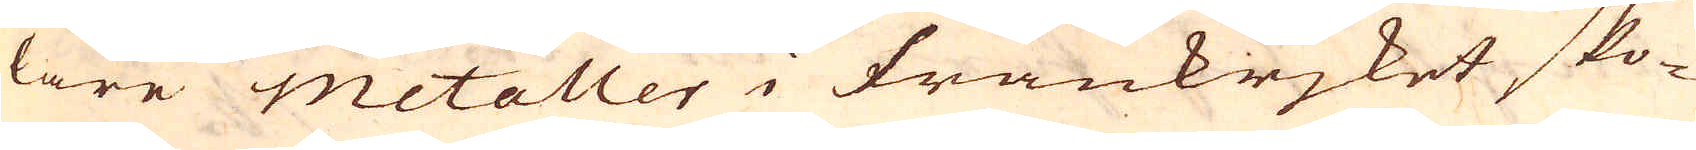lare metaller i Frankrjket sko-
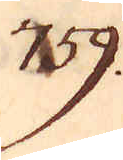759.
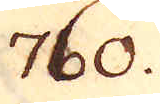760.
